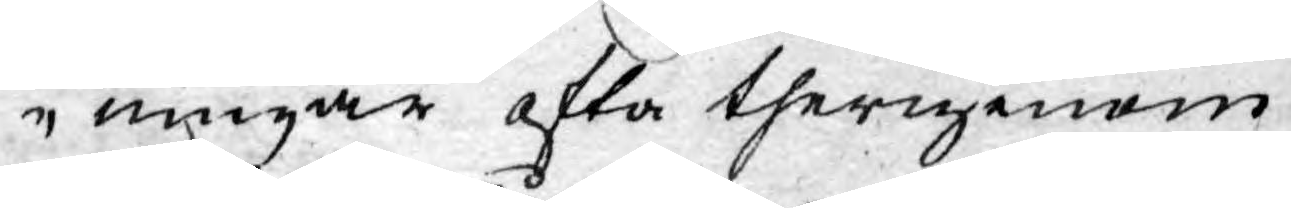ningar ofta therigenom
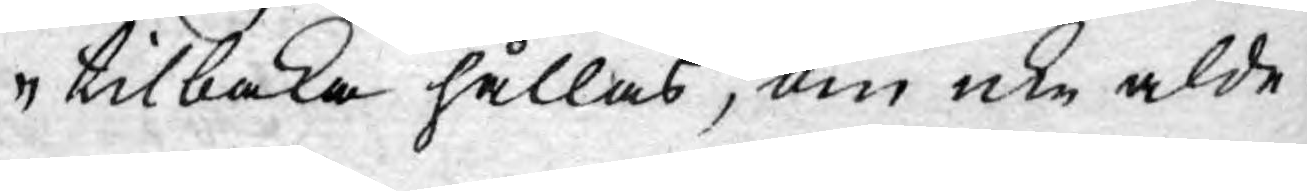tilbaka hållas, om icke alde¬
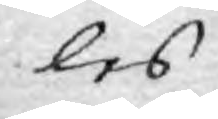les
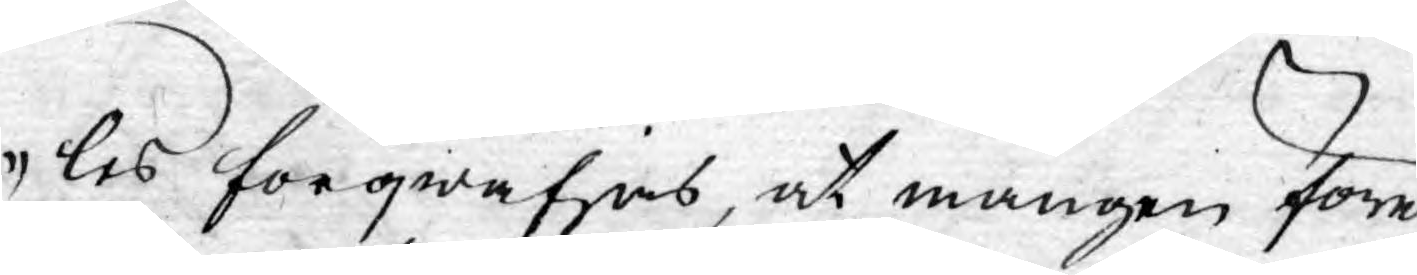les förqwäfjas, at mången före¬
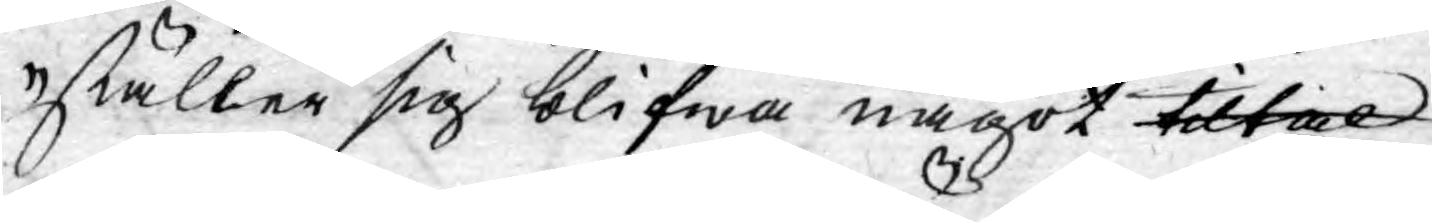ställer sig blifwa något tiltal
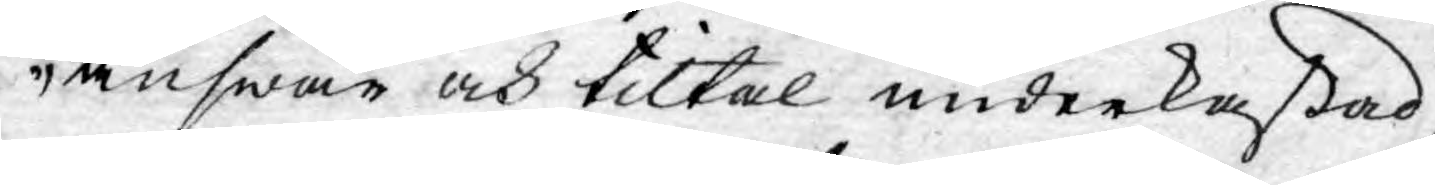answar och tiltal underkastad,
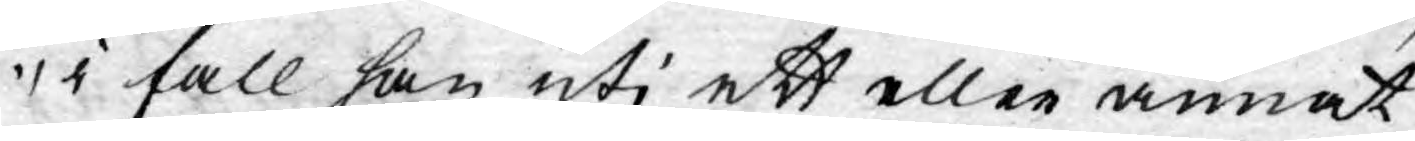i fall han uti ett eller annat
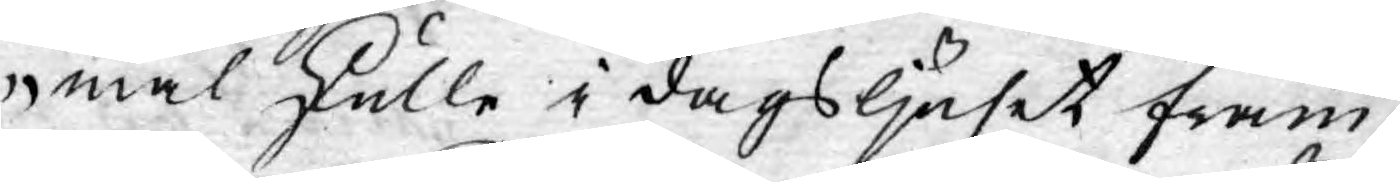mål skulle i dagsljuset fram¬
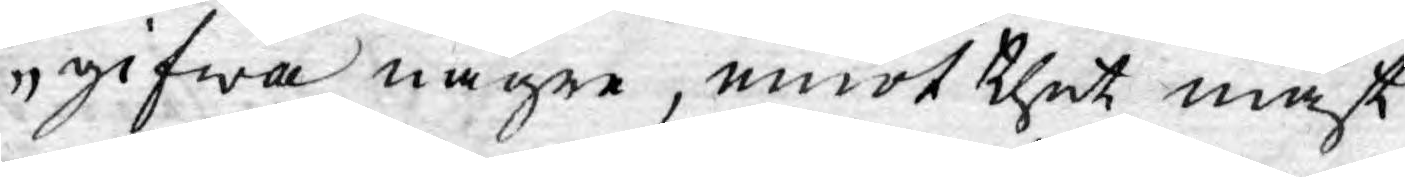gifwa någre, emot thet mäst
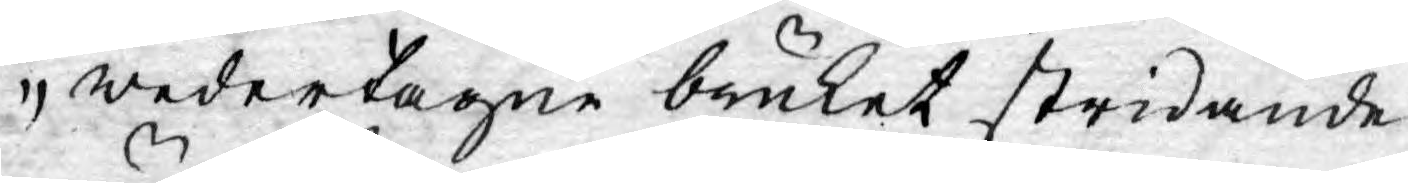wedertagne bruket stridande,
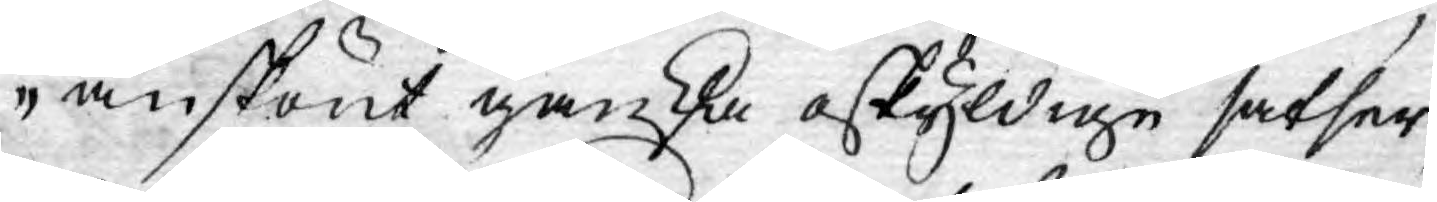änskönt ganka oskyldige satser;
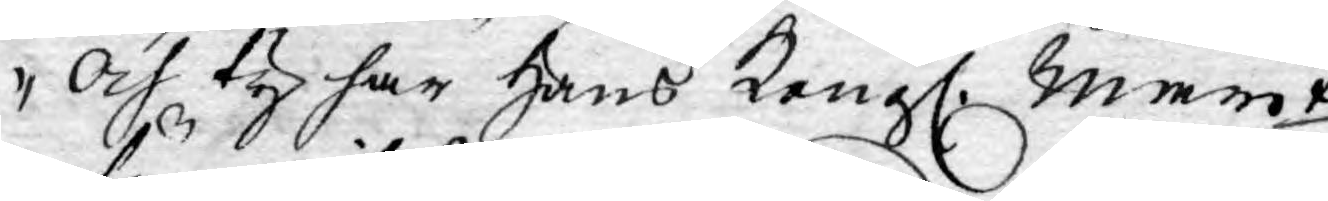Och ty har Hans Kongl. Mayt
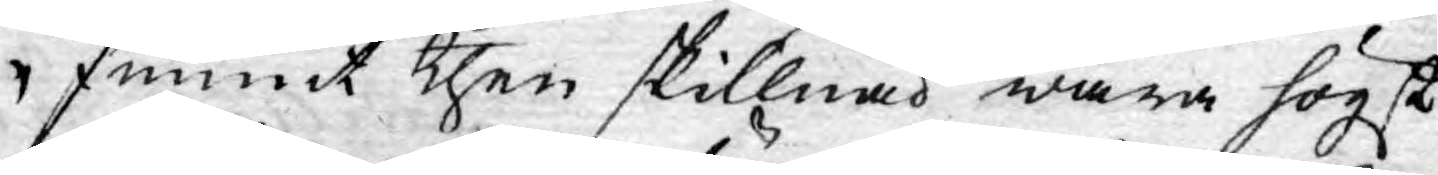funnit then skillnad wara högst
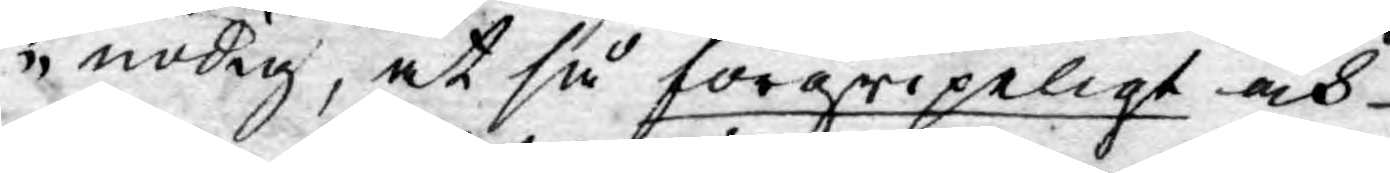nödig, at så förgripeligt och
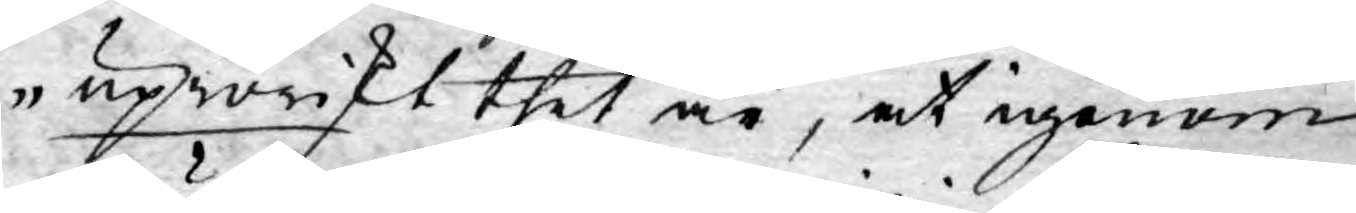uproriskt thet är, at igenom
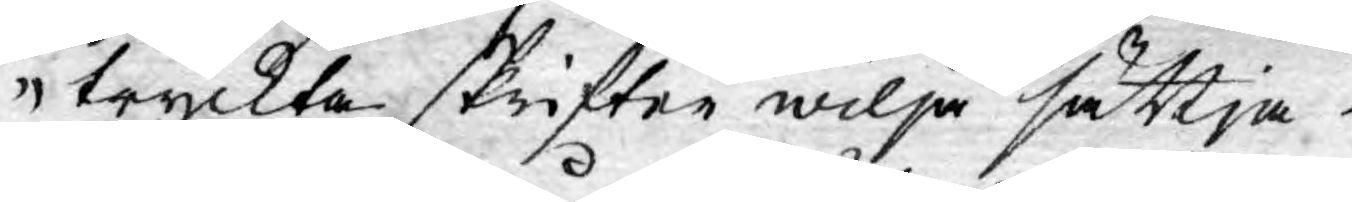tryckta skrifter wilja sättja i
